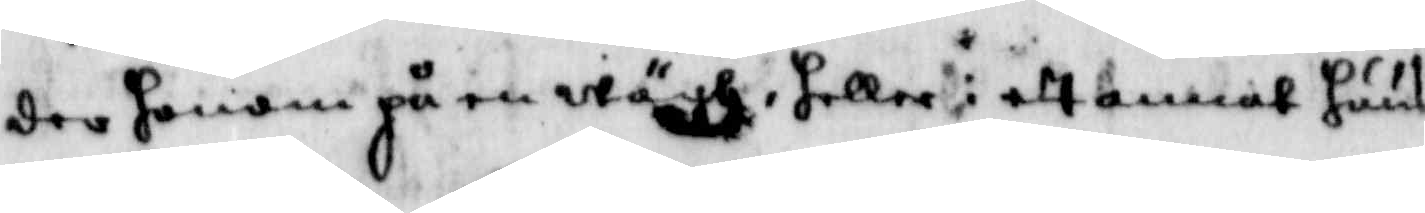der honom på en wägh, heller i ett annat huus
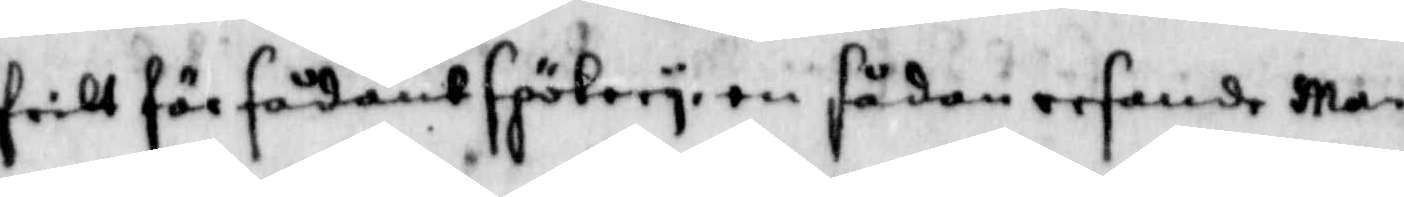fritt för sådant späkery, en sådan resande ma
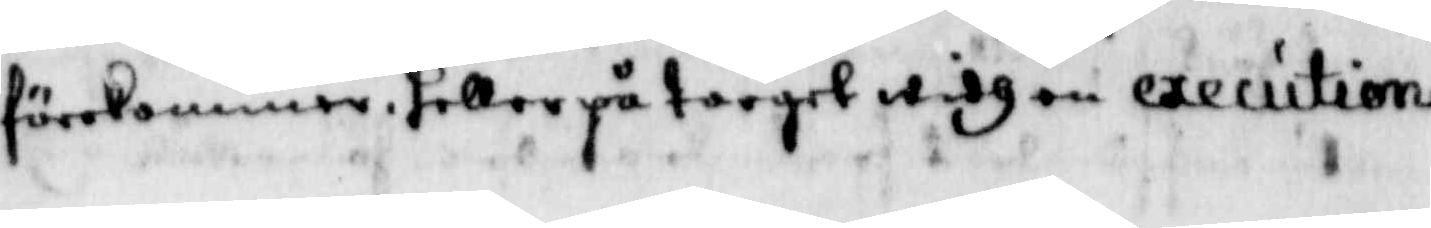förekommer, heller på torget widh en execution
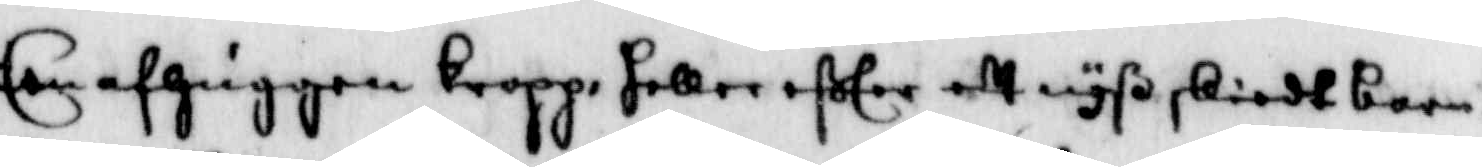Een afhuggen kropp, heller efter ett nyß skiedt barn¬
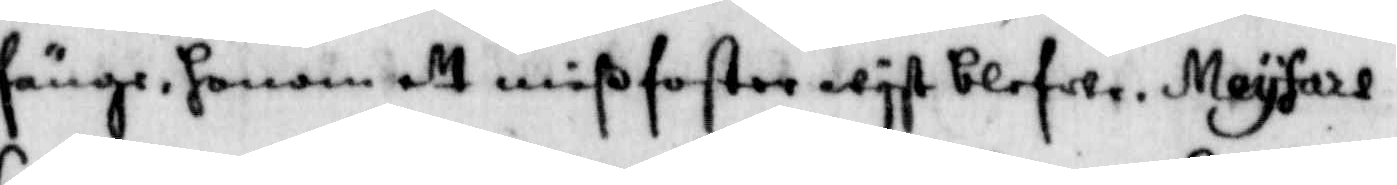fänge, honom ett mißfoster wist blefwe, Meyfarl
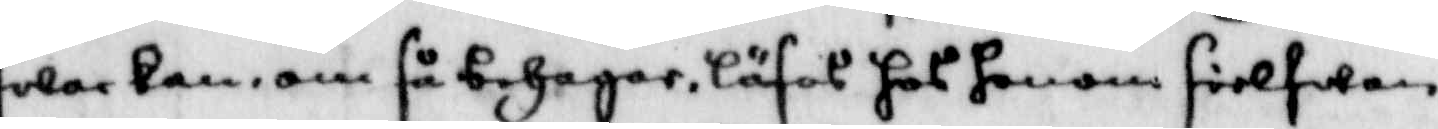swar kan, om så behagar, läsas hos honom sielwan
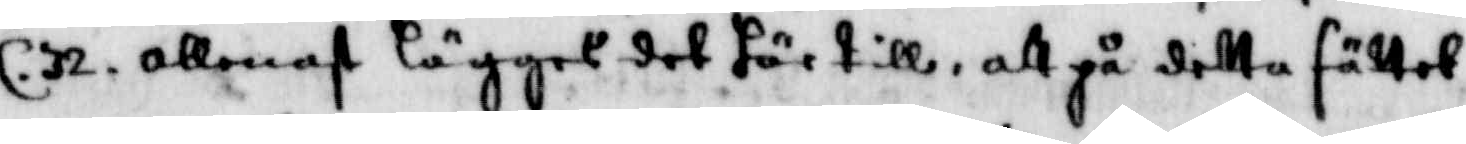C.32. allenast läggas det här till, att på detta sättet
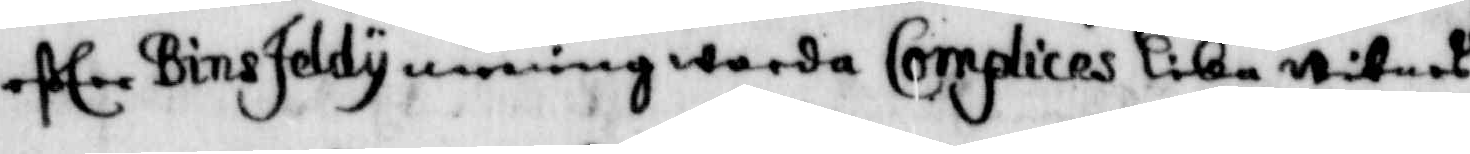efter BinsJeldy mening warda Complices lika witnes¬
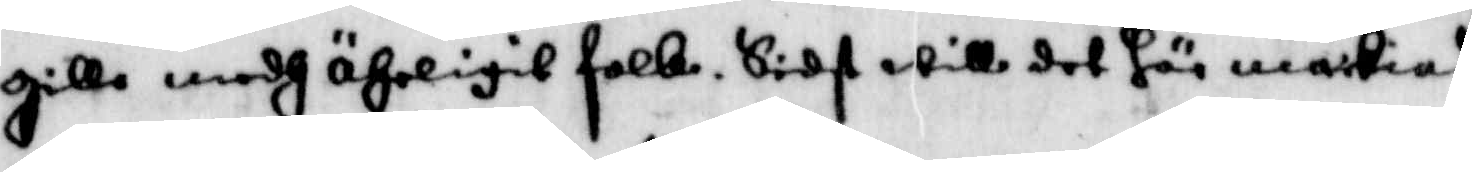gilla medh ährligit folk, Sidst will det här märkias
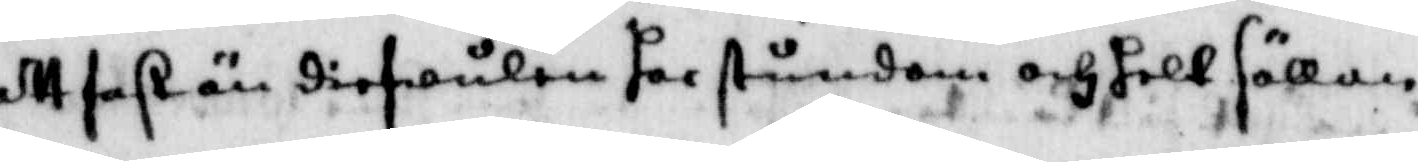att fast än diefulen har stundom och helt sällan
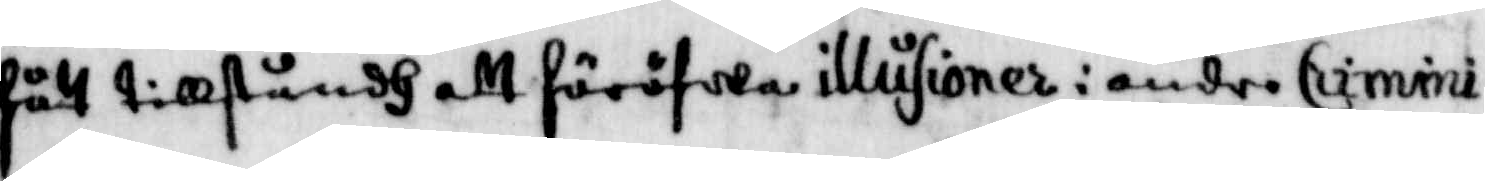fått tillståndh att föröfwa illusioner i andra Crimini¬
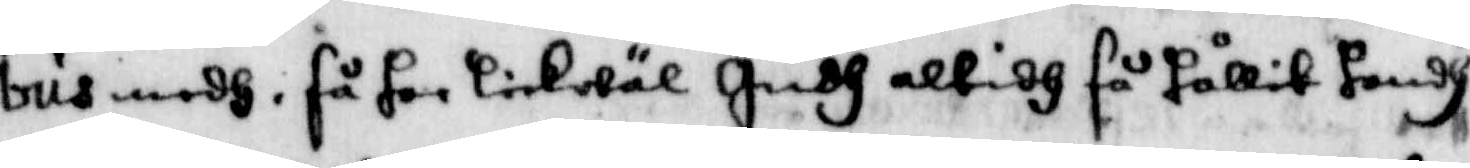bus medh, så har likwäl Gudh altidh så hållit handh
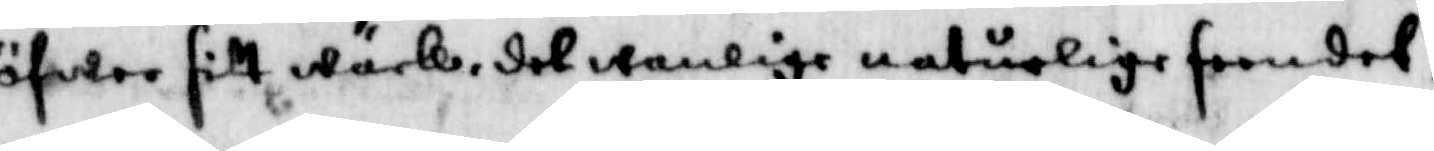öfwer sitt wärk, det wanlige naturlige feendel,
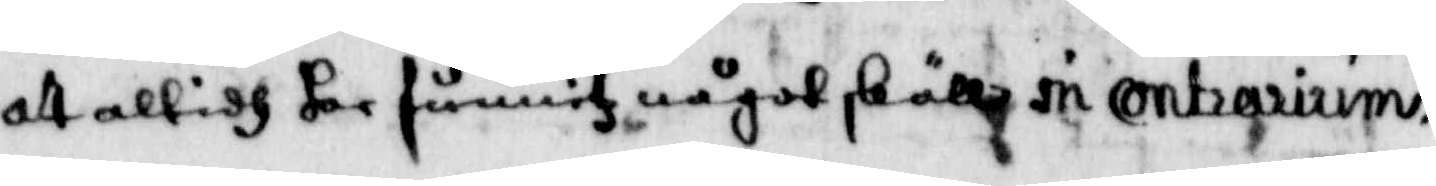att altidh har funnitz något skäll in contraririm¬
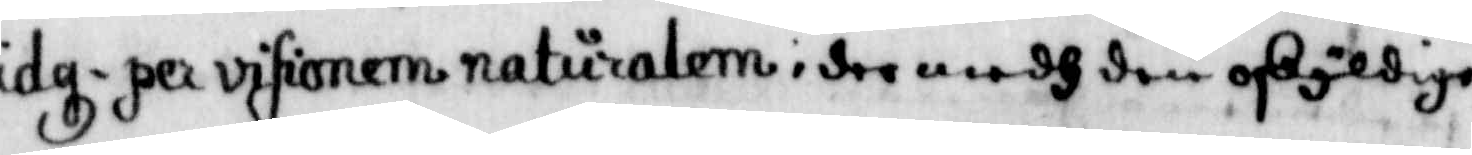idgz per visionem naturalem i der medh den oskyldige
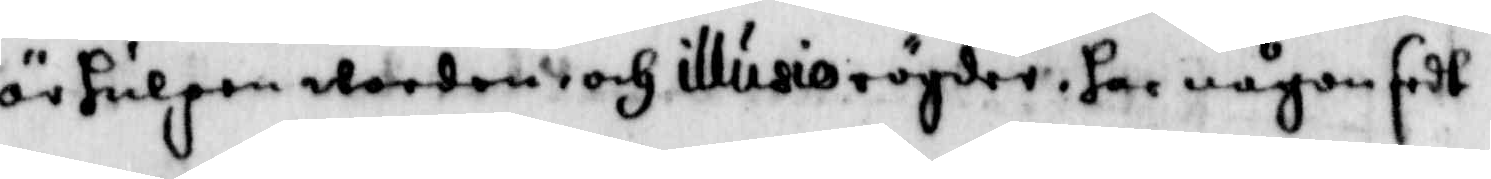är hulpen worden och illusio rögder, har någon sedt
